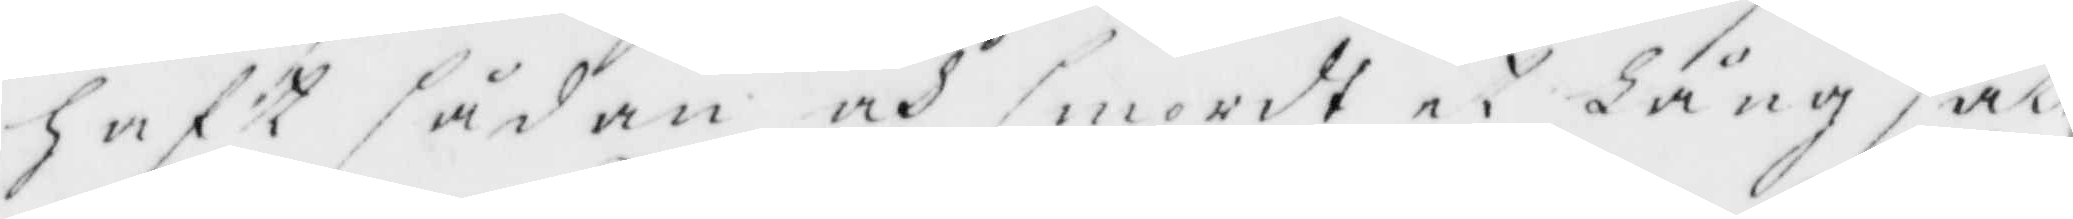haft sådan och smordt et Lång sät
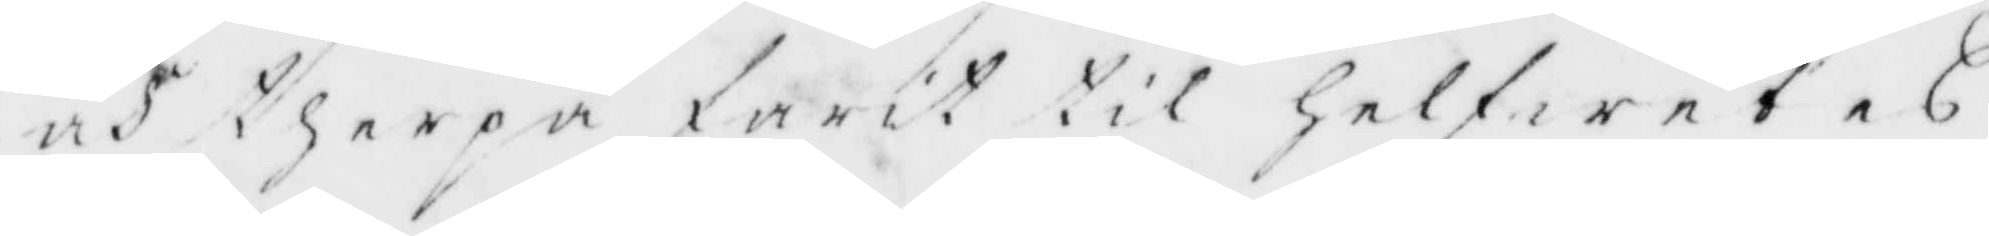och therpå farit till Helfwetes
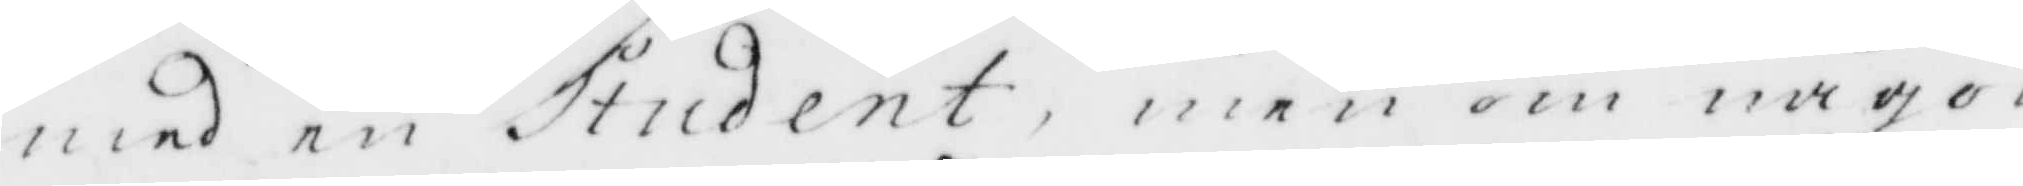med en Student, men om någon
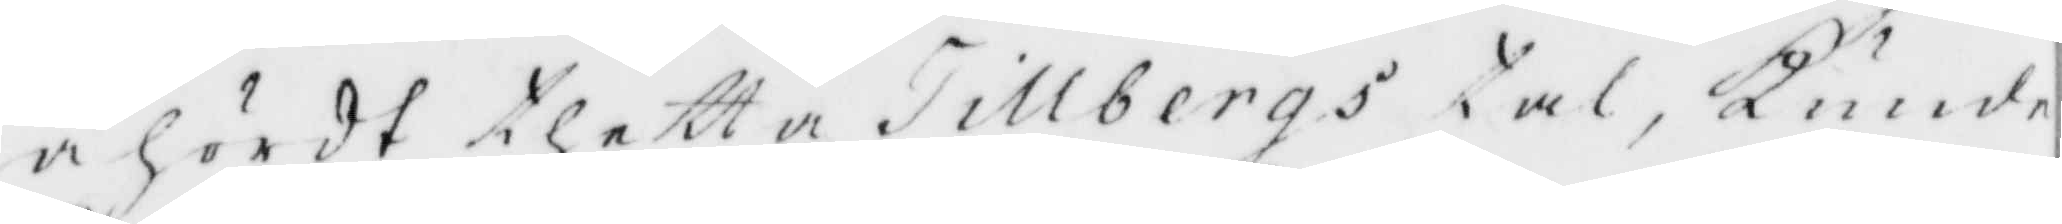åhördt thetta Tillbergs tal, Kunde
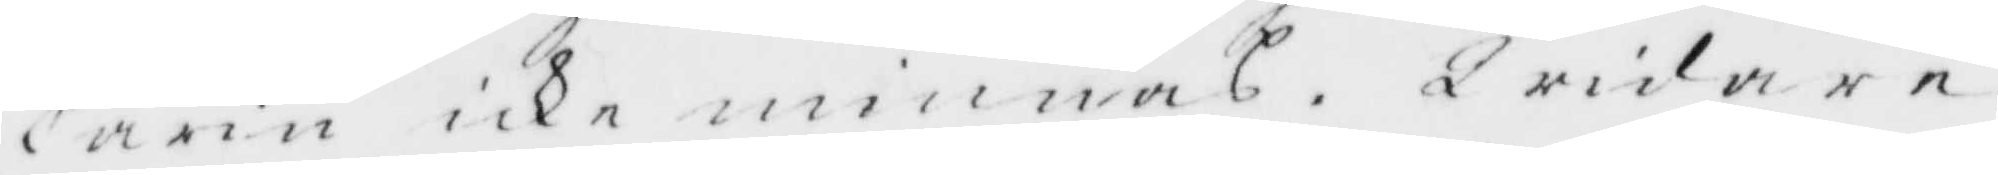Carin icke minnas. Widare
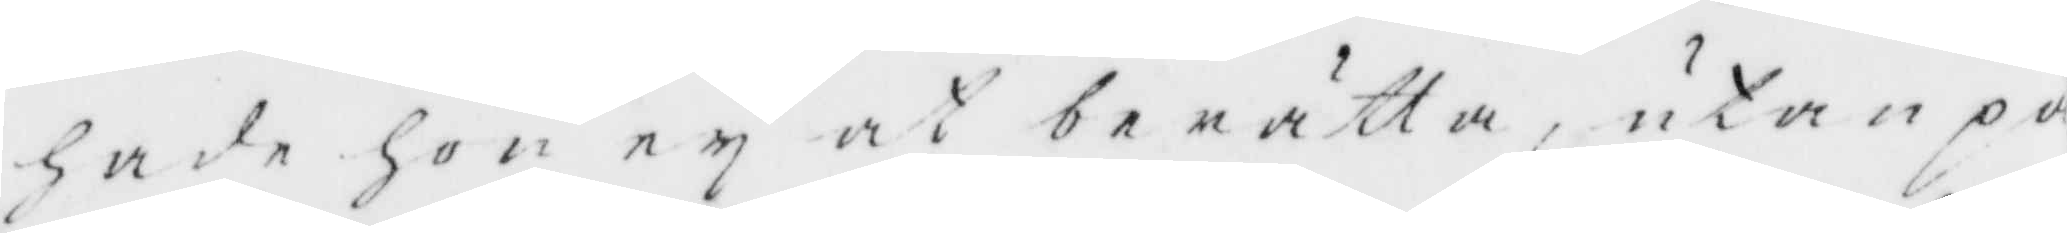hade hon ey at berätta, utan på¬
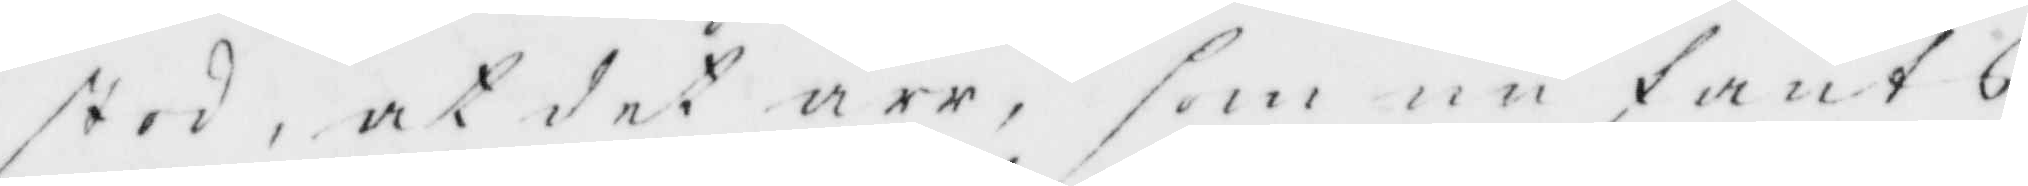stod, at det ärr, som nu fants
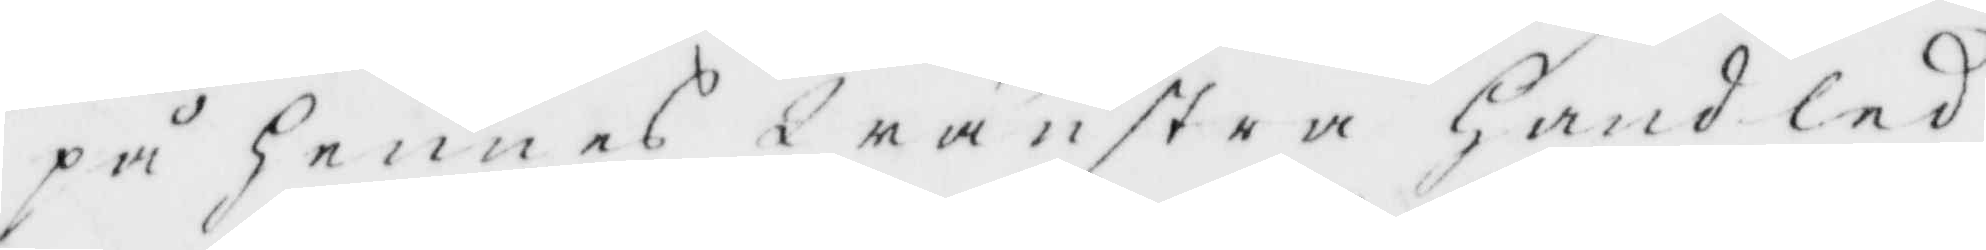på hennes Wänstra Hand led
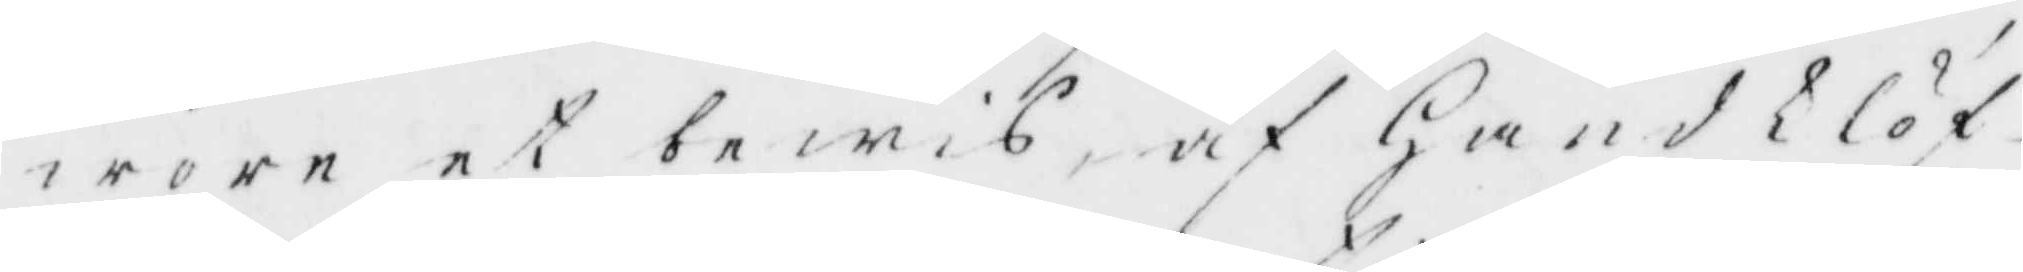wore et bewis af Hwad klöf¬
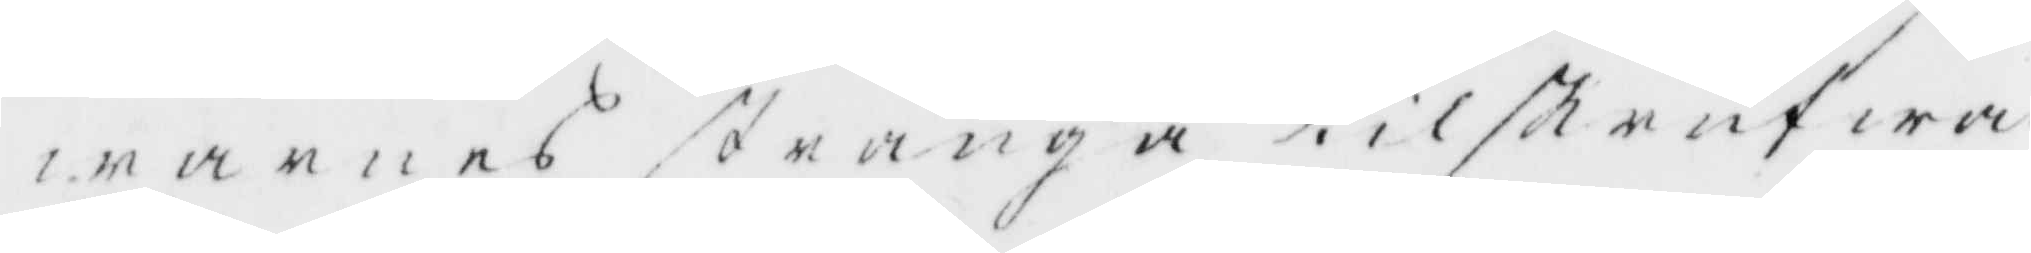warnes stränga tilskrufwa¬
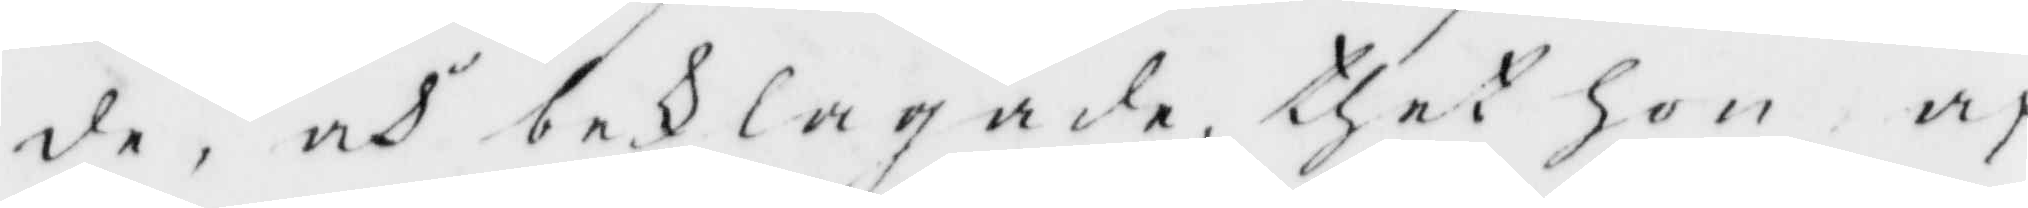de, och beklagade, thet hon af
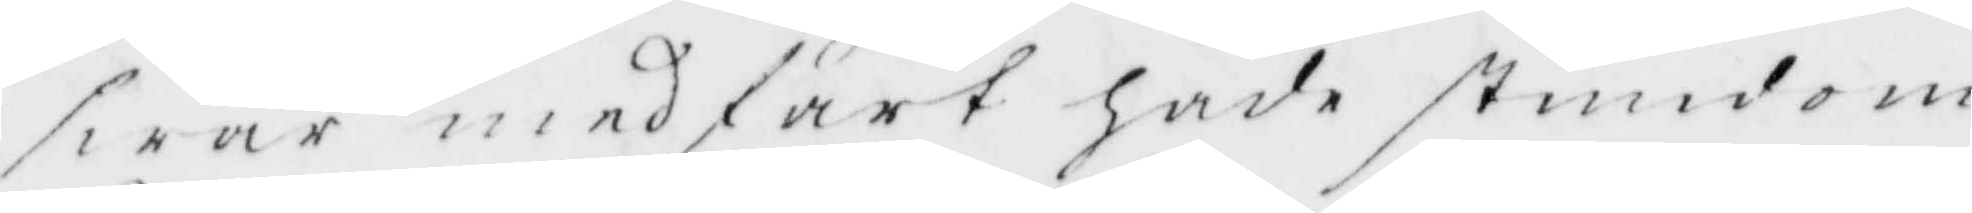swår medfart hade stundom
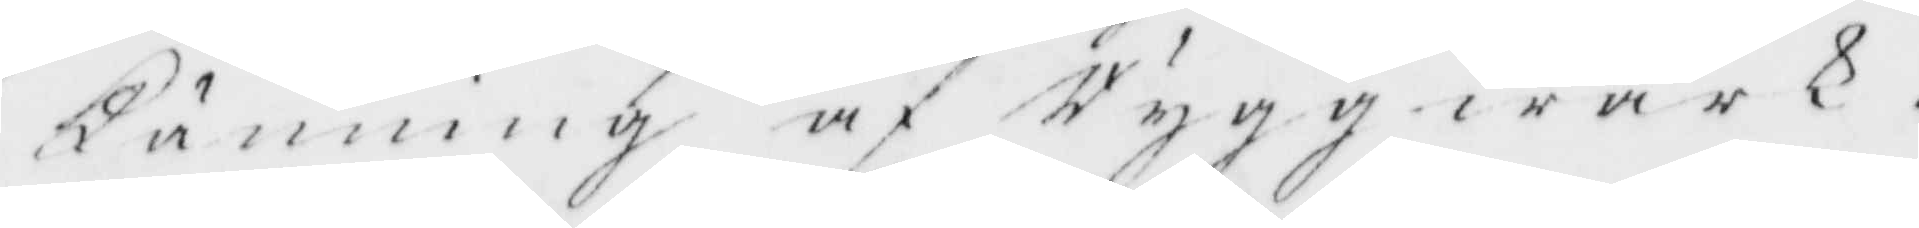Känning af Ryggwärk.
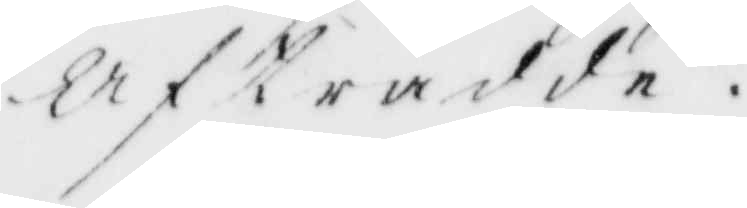Afträdde.
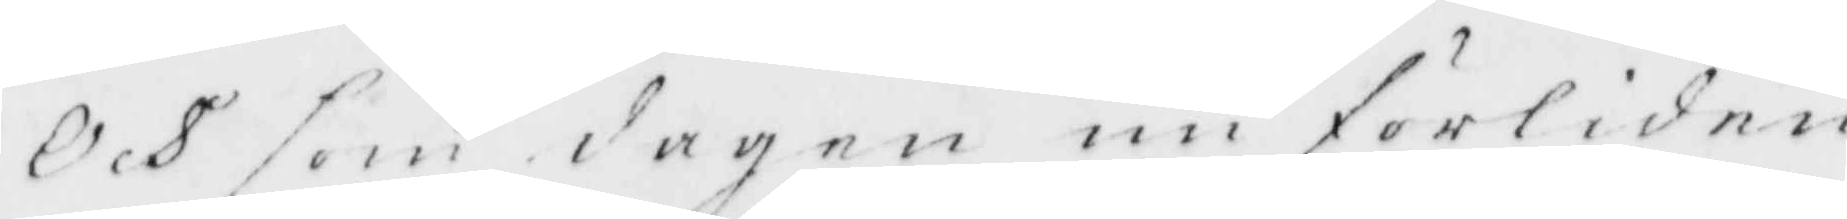Och som dagen nu förliden
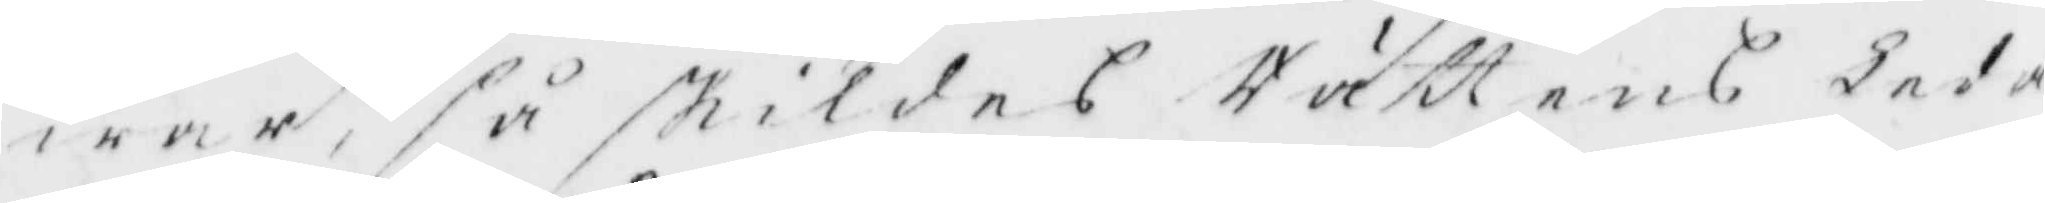war, så skildes Rättens leda¬
